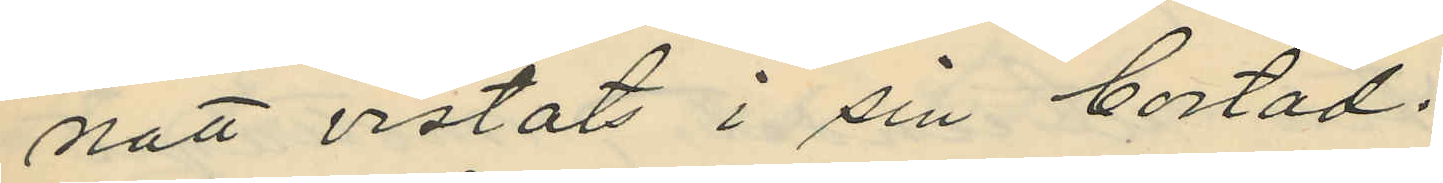natt vistats i sin bostad.
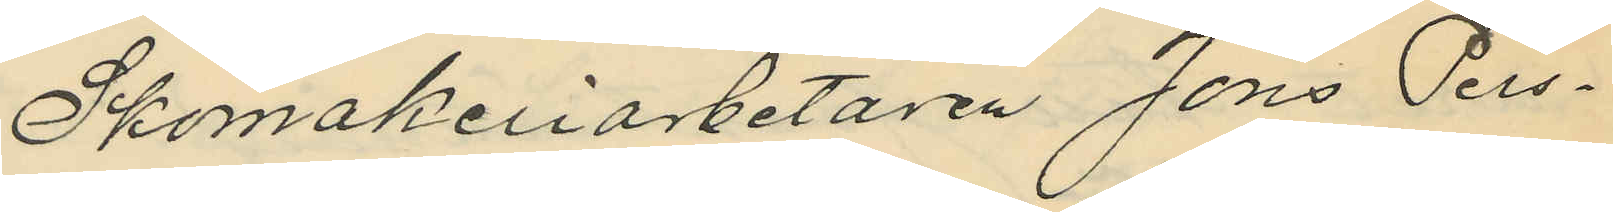Skomakeriarbetaren Jöns Pers¬
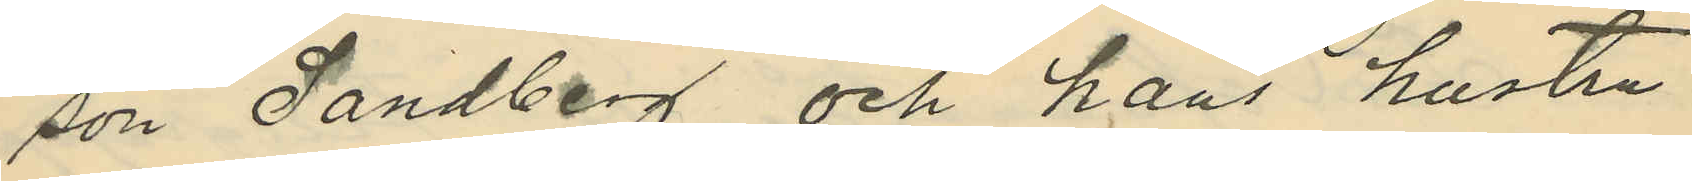son Sandberg och hans hustru
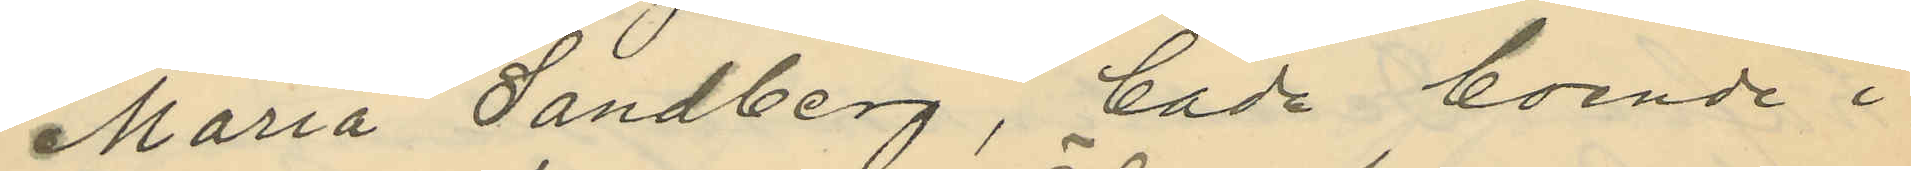Maria Sändberg, båda boende i
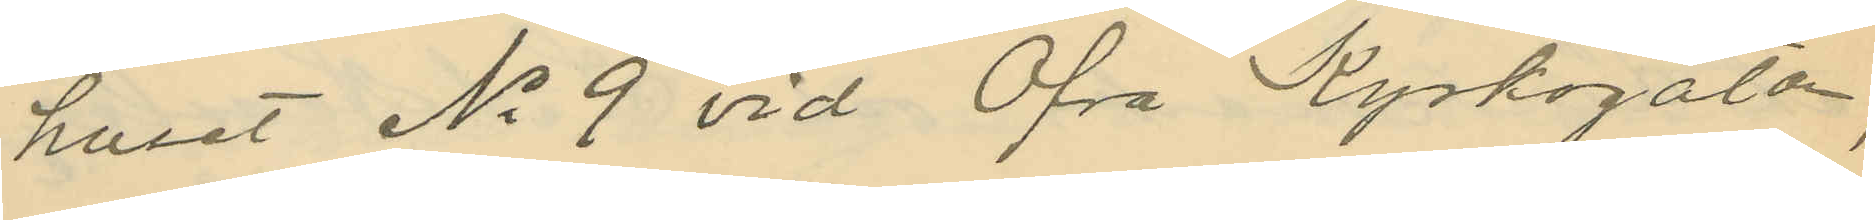huset No 9 vid Öfra Kyrkogatan,
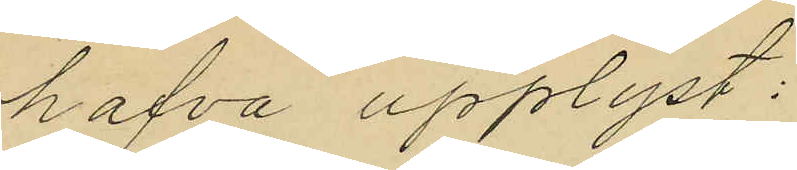hafva upplyst:
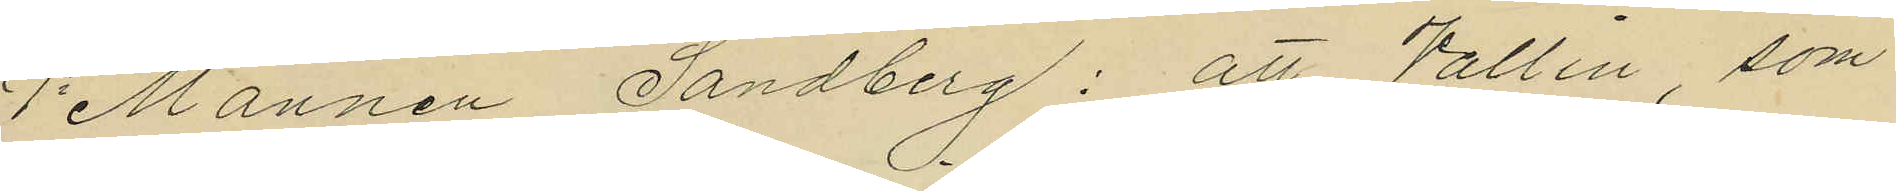1o Mannen Sandberg: att Vallin, som
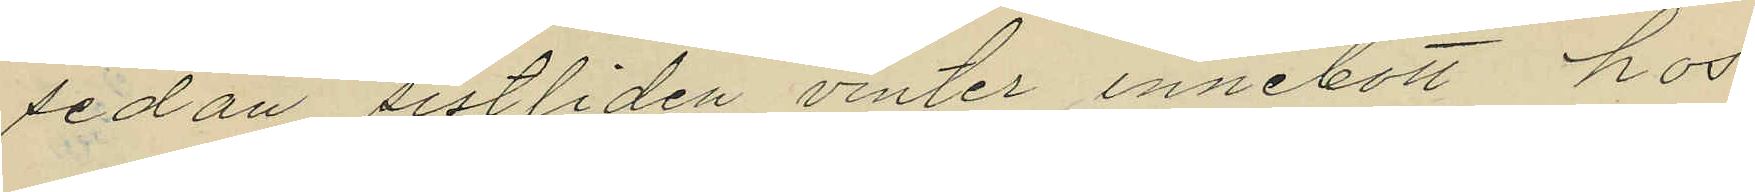sedan sistliden vinter innebott hos
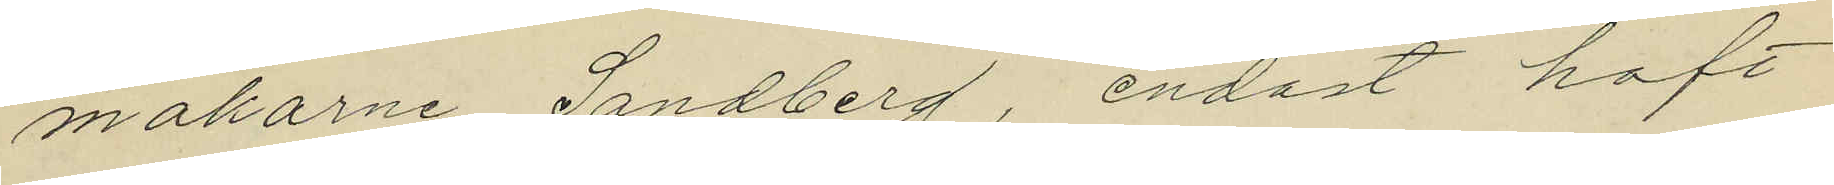makarne Sandberg, endast haft
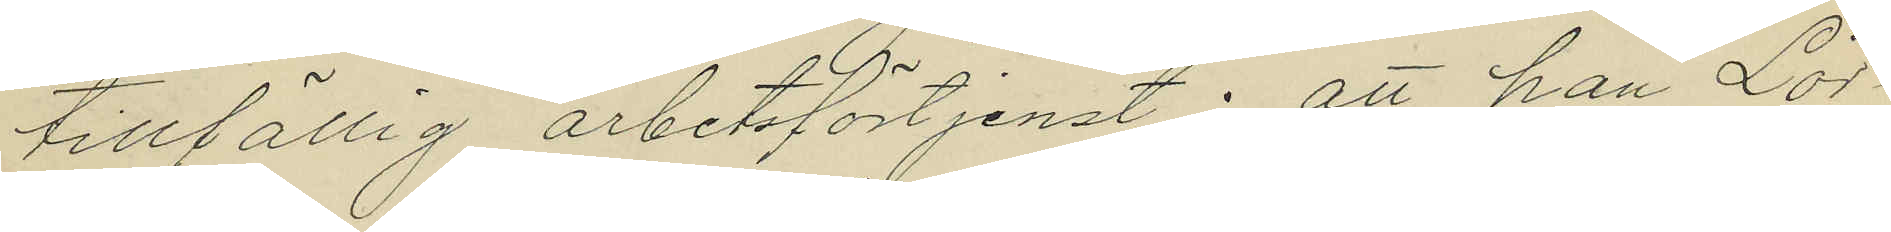tillfällig arbetsförtjenst; att han Lör¬
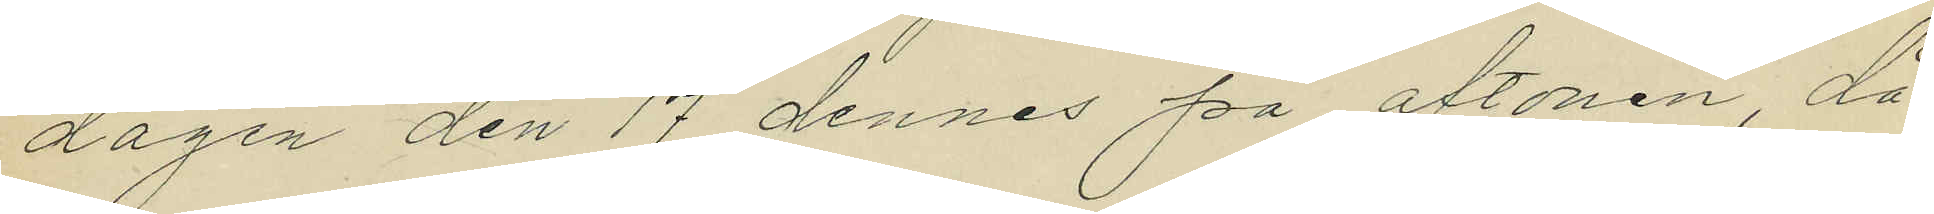dagen den 17 dennes på aftonen, då
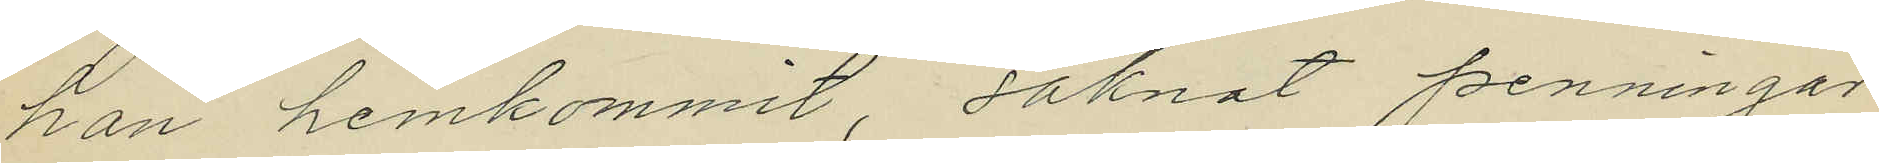han hemkommit, saknat penningar
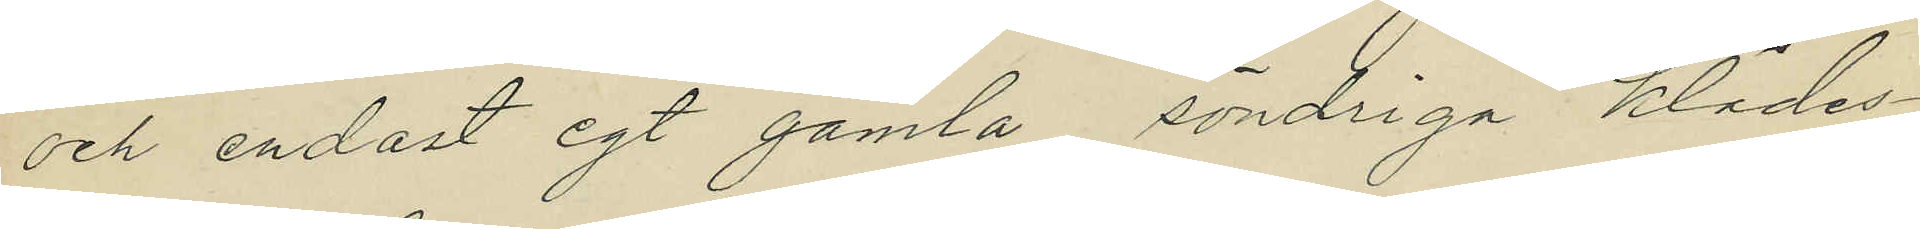och endast egt gamla, söndriga klädes¬
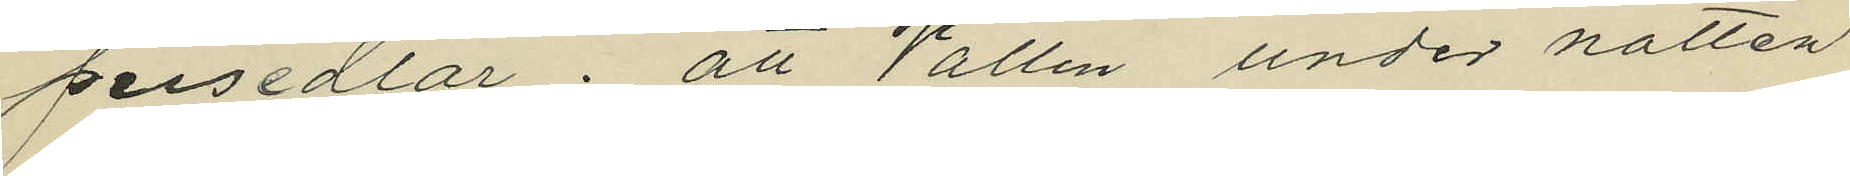persedlar; att Vallin under natten
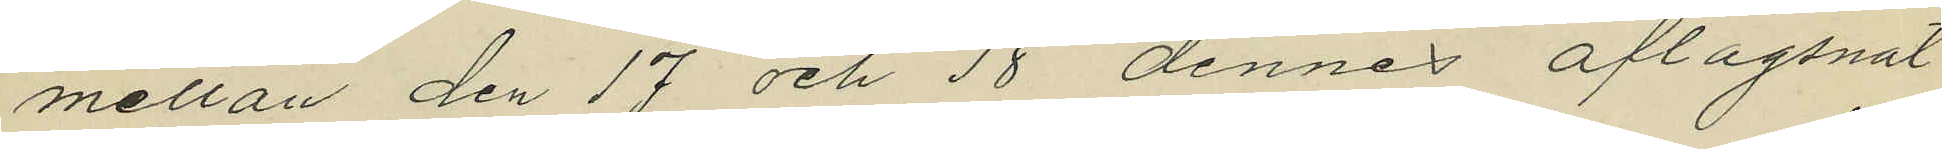mellan den 17 och 18 dennes aflägsnat
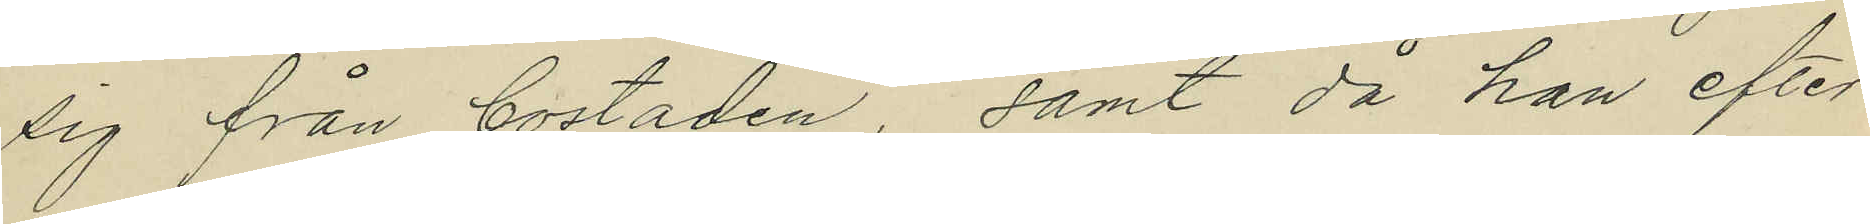sig från bostaden, samt då han efter
